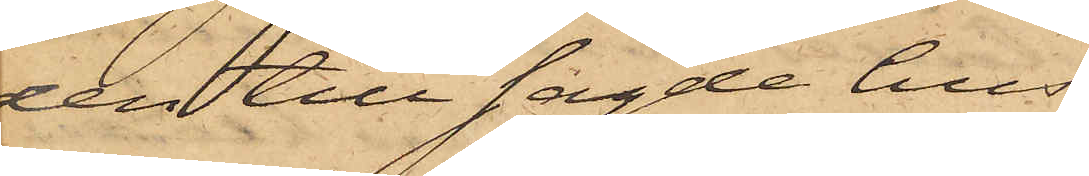den till sagde hus
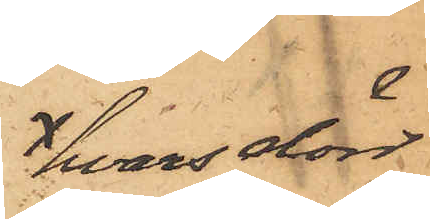hvars dörr
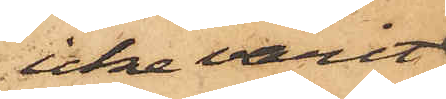icke varit
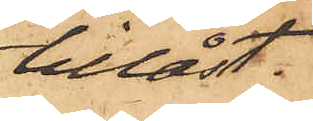tillåst,
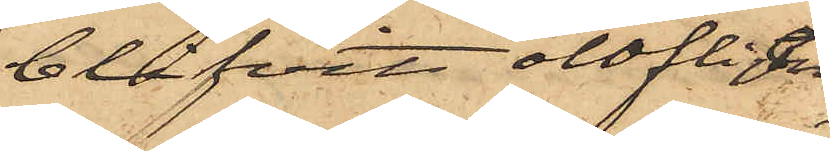blifvit olofligen
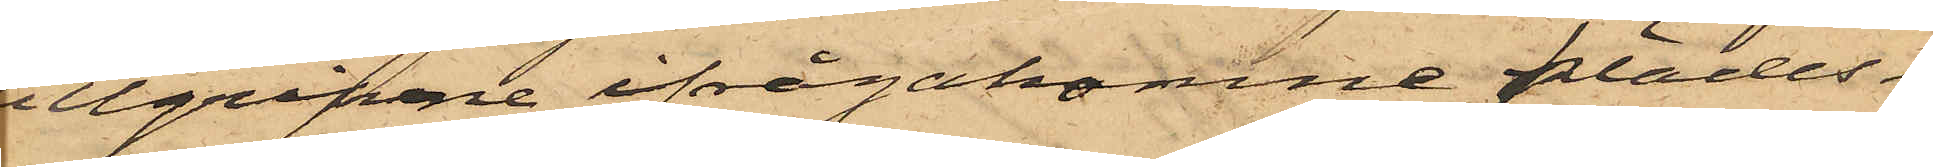tillgripne ifrågakomne klädes¬
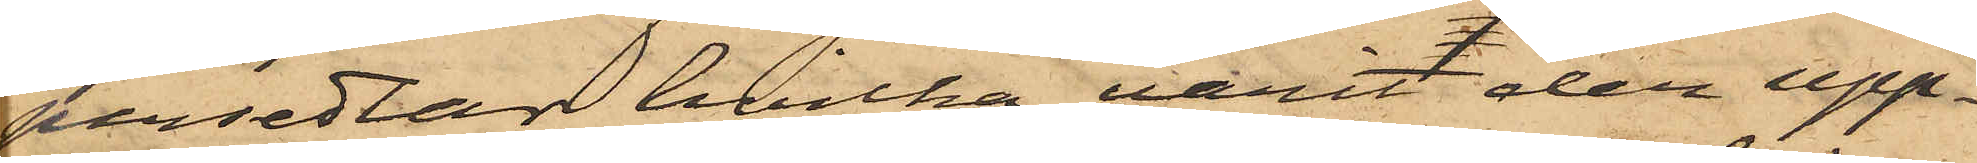persedlar, hvilka varit der upp¬
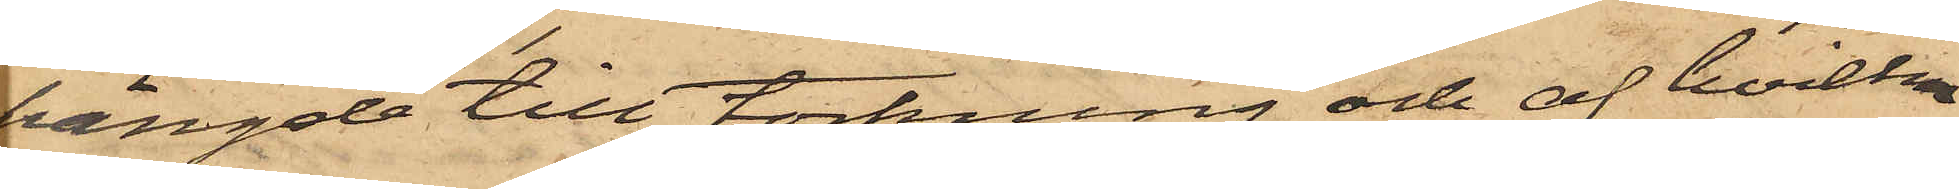hängde till torkning och af hvilka
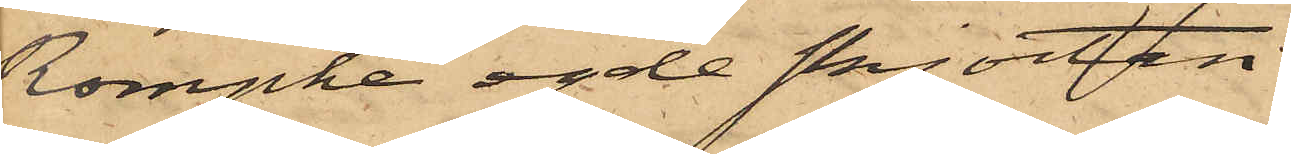Rompke egde skjorten
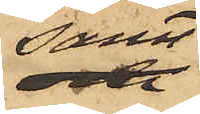samt
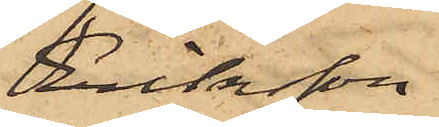Eriksson
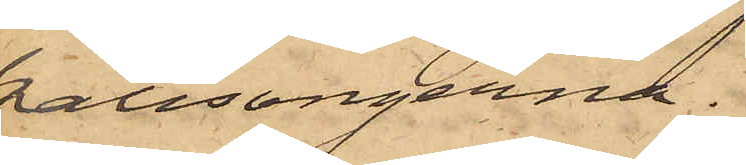kalisongerna.
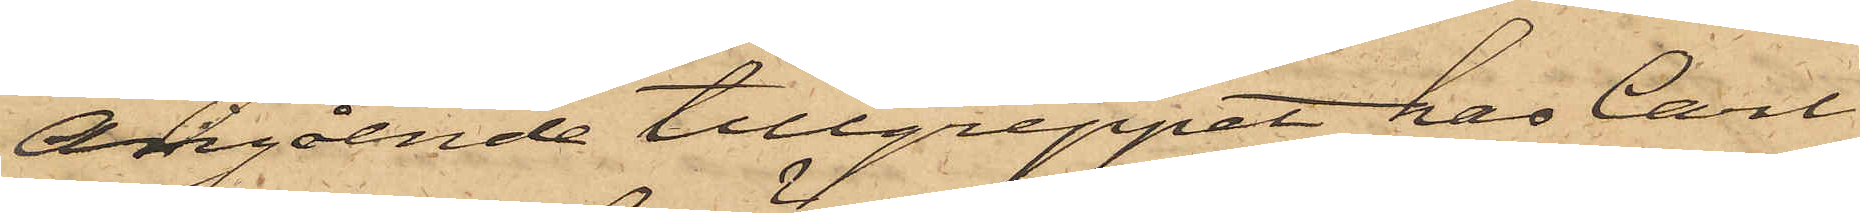Angående tillgreppet, har Carl
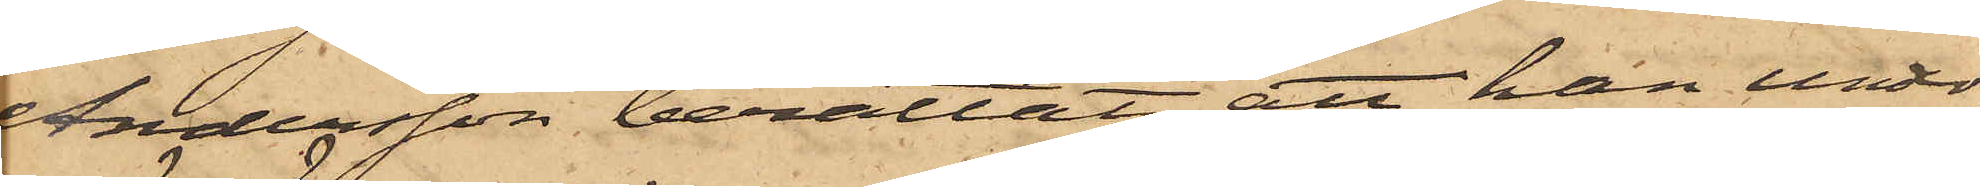Andersson berättat, att han under
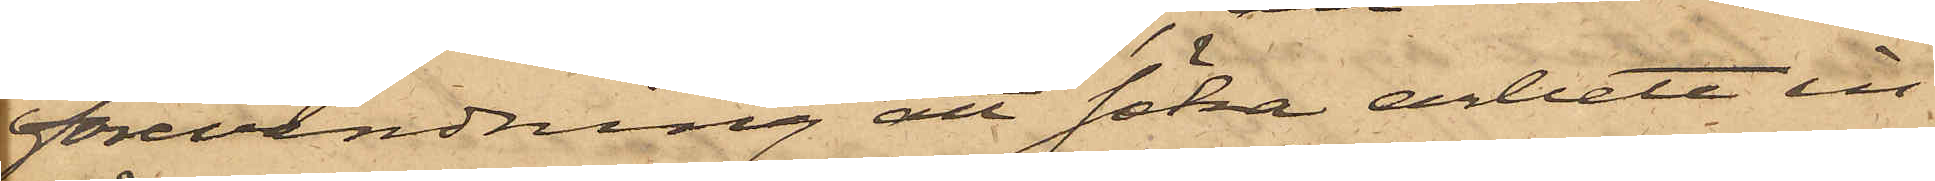förevändning att söka arbete in¬
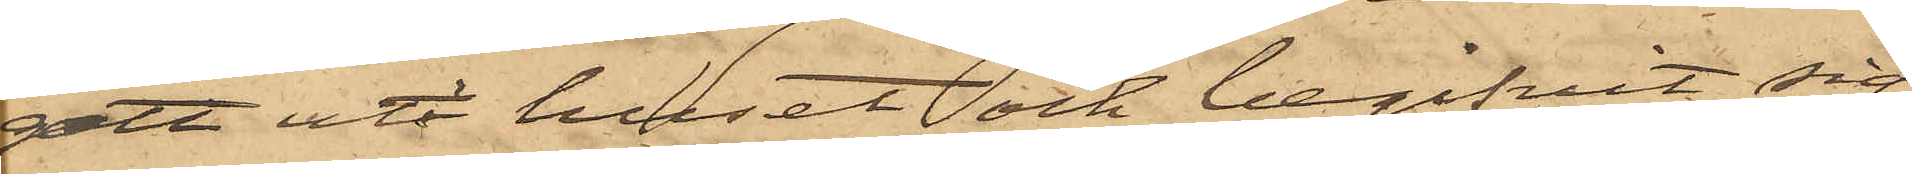gått uti huset och begifvit sig
